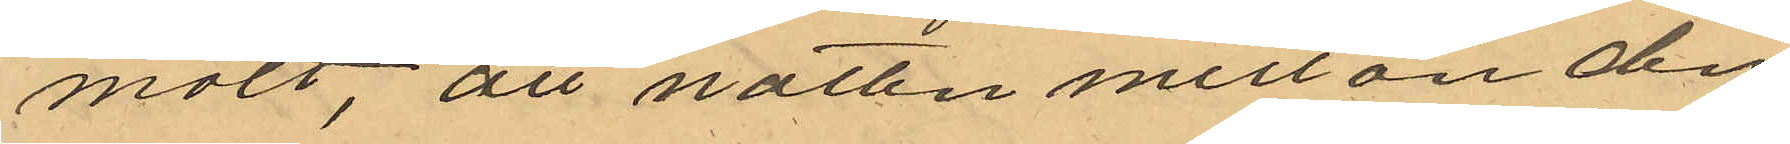mält, att natten mellan den
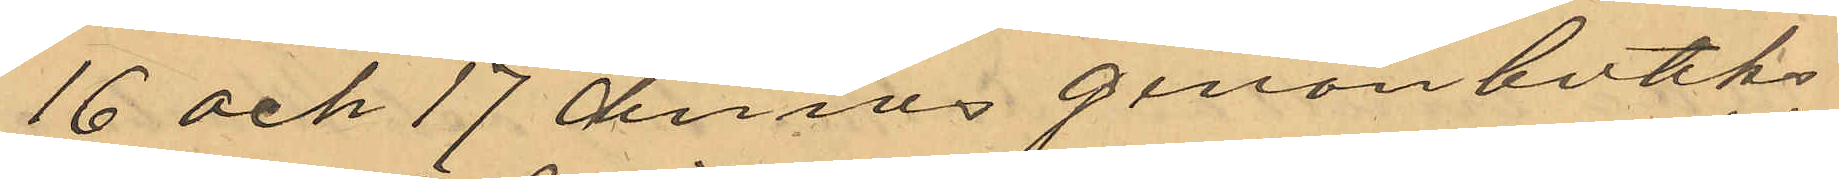16 och 17 dennes genom butiks¬
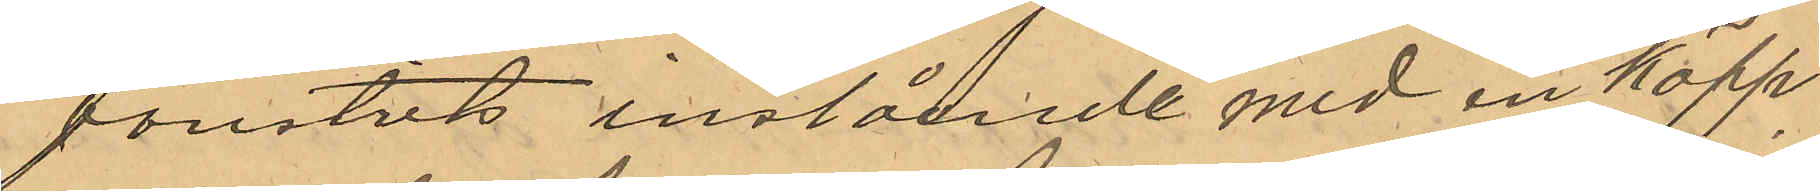fonstets inslånde med en käpp,
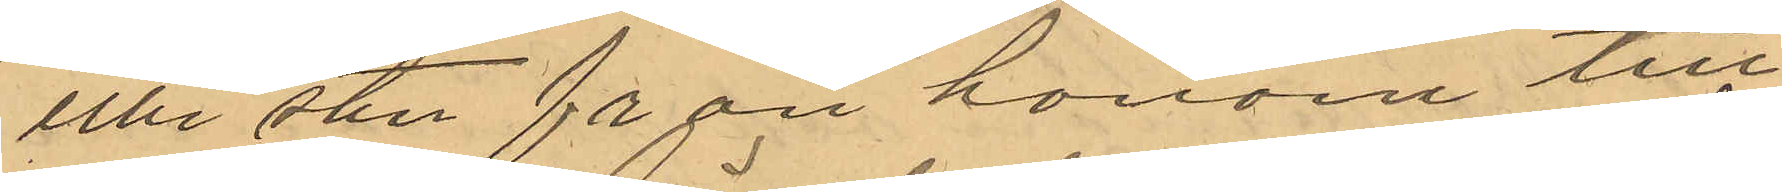eller sten från honom till¬
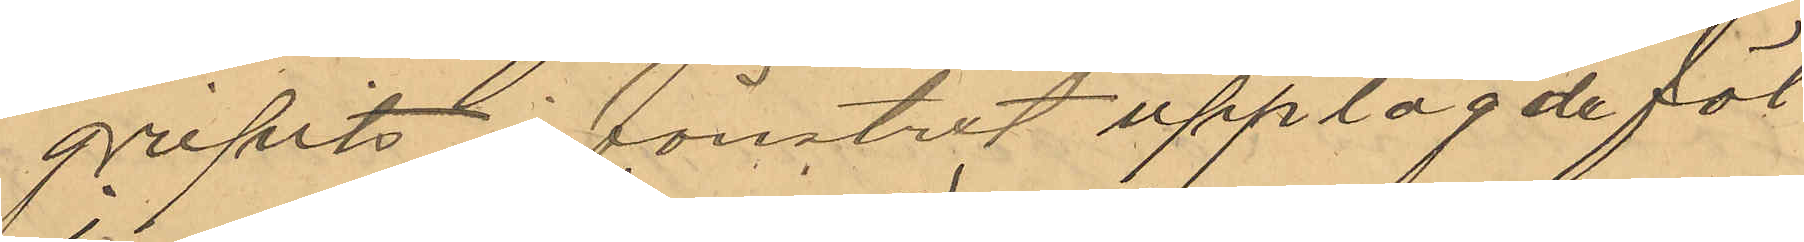gripits  i fönstret upplagde föl¬
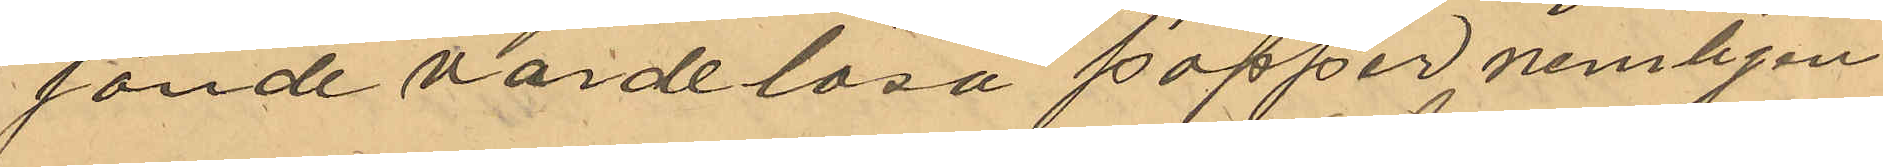jande värdelösa papper nemligen
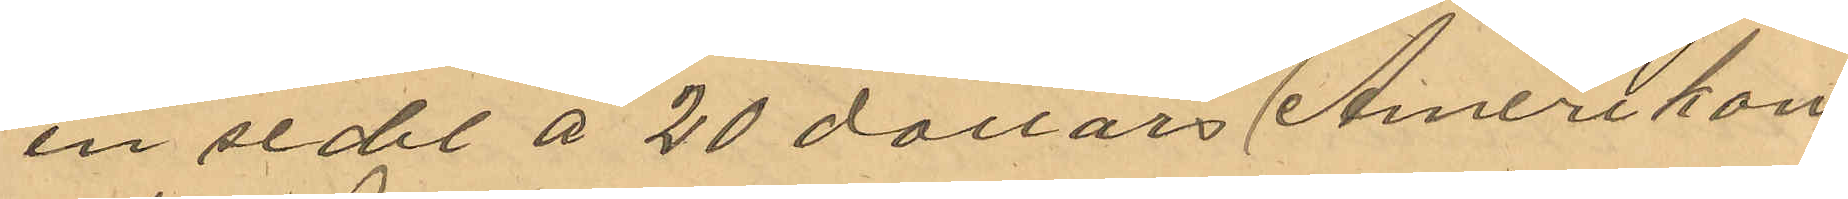en sedel å 20 dollars (Amerikan¬
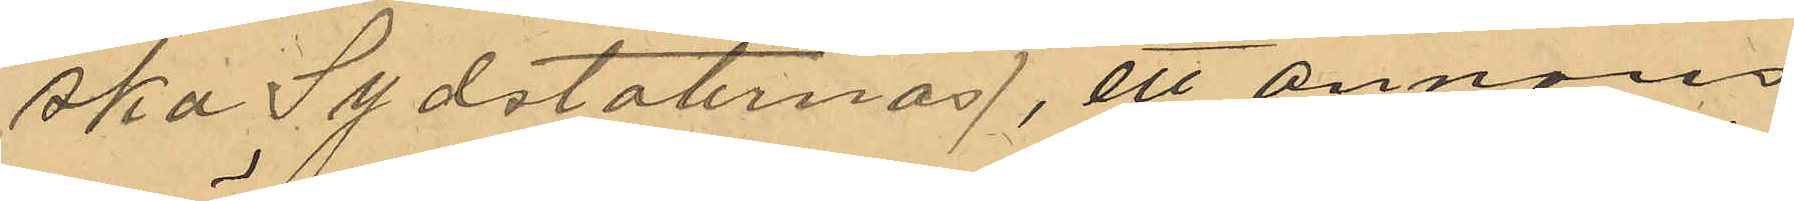ska Sydstaternas), ett annons¬
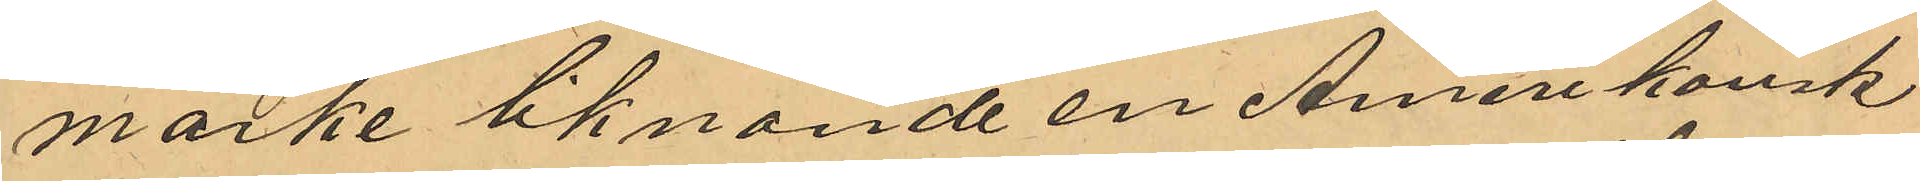märke liknande en Amerikansk
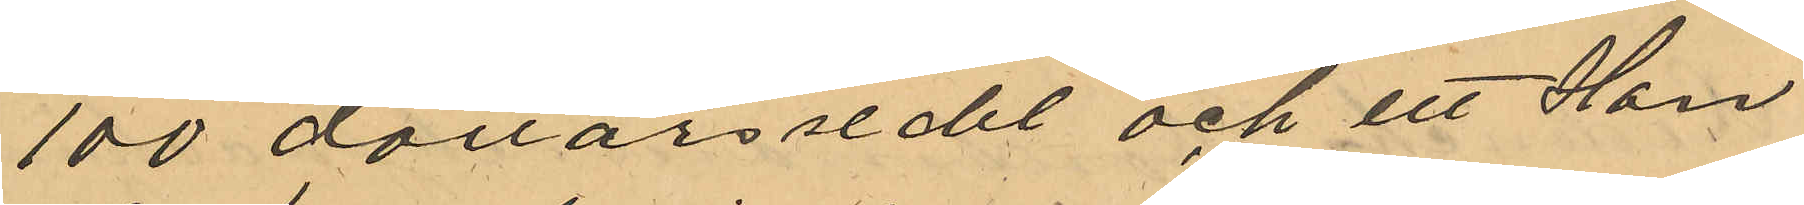100 dollars sedel och ett Han¬
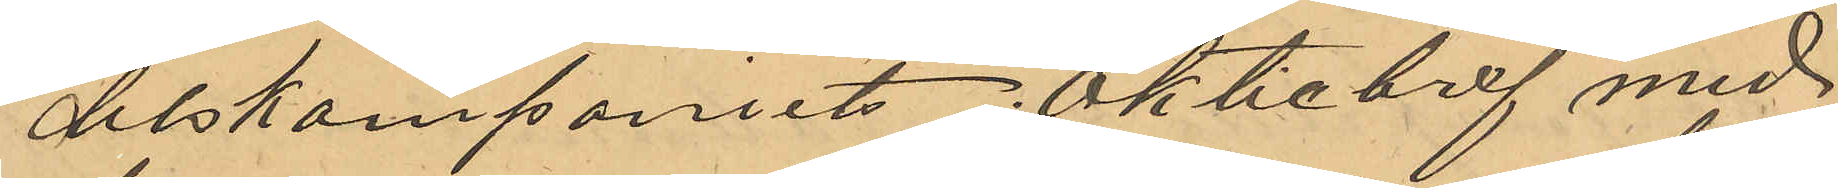delskompaniets aktiebref med
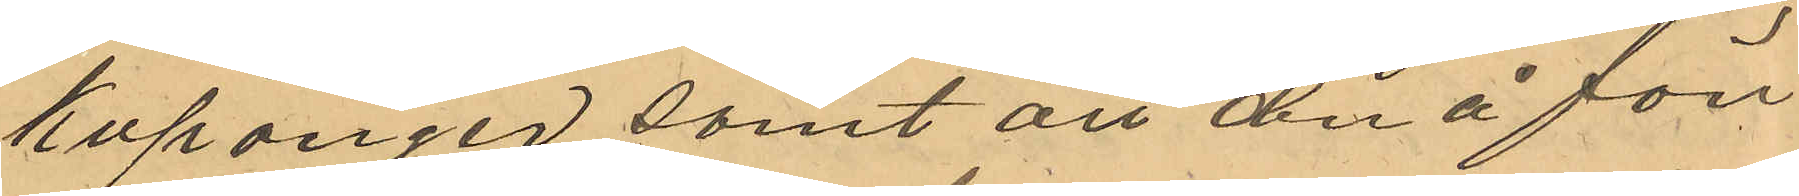kuponger, samt att den å fön¬
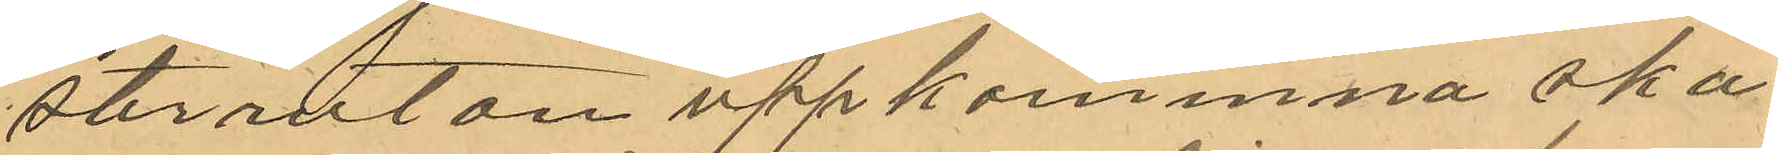sterrutan uppkommna ska¬
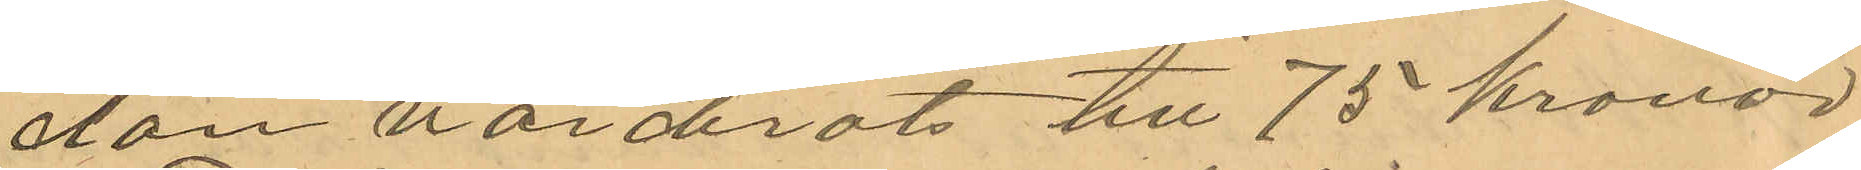dan värderats till 75 kronor
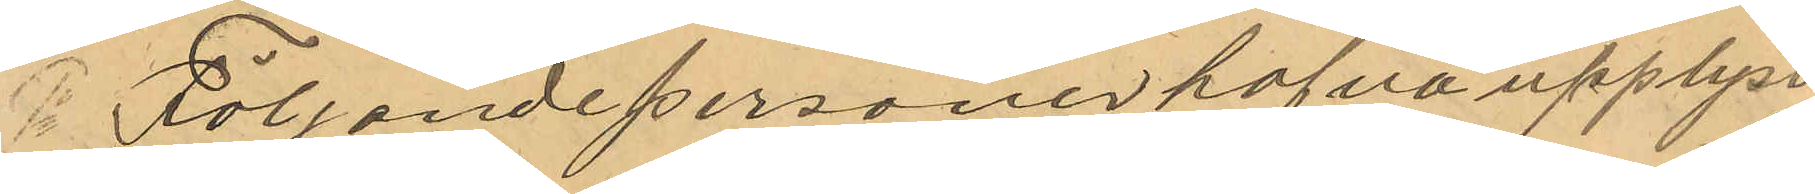 Följånde personer hafva upplyst
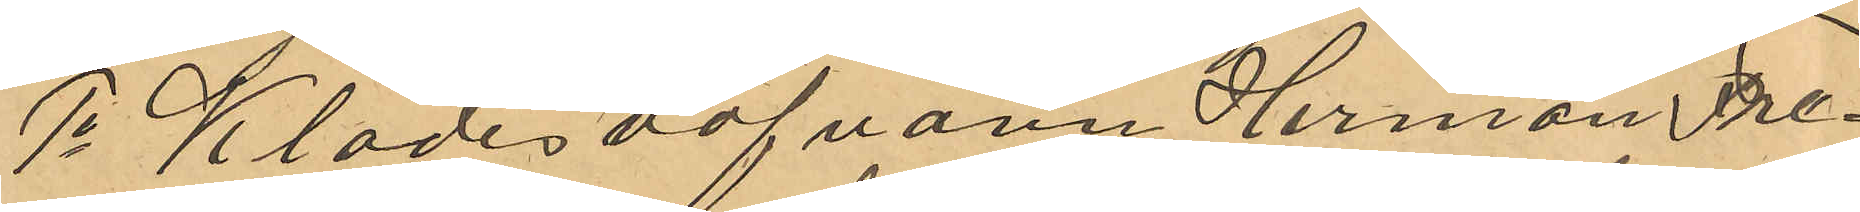1o Klädesväfvaren Herman Fre¬
